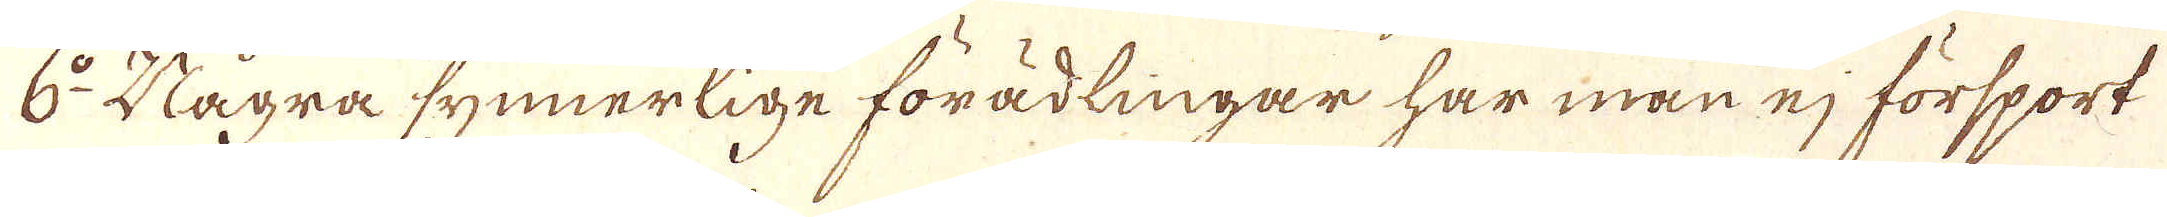6:o Några synnerlige förädlingar har man ej försport
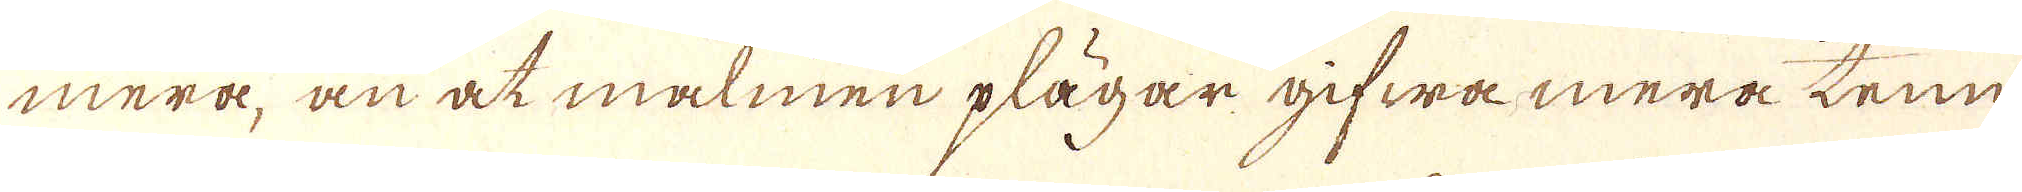mera, än at malmen plägar gifwa mera tenn
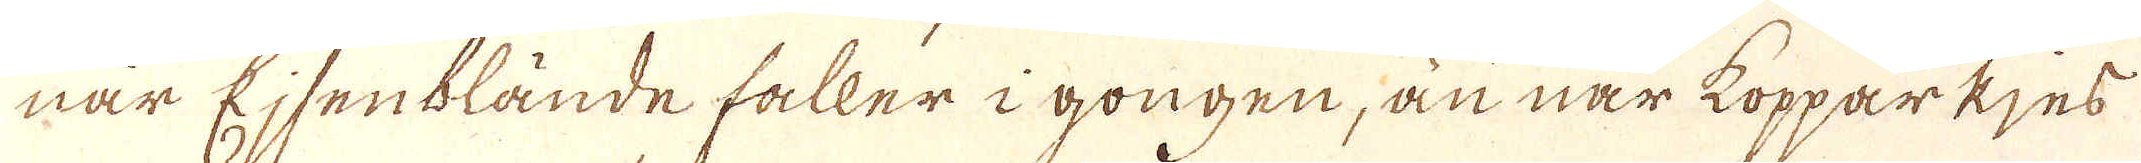nar Ejsenblände faller i gongen, än när kopparkjes
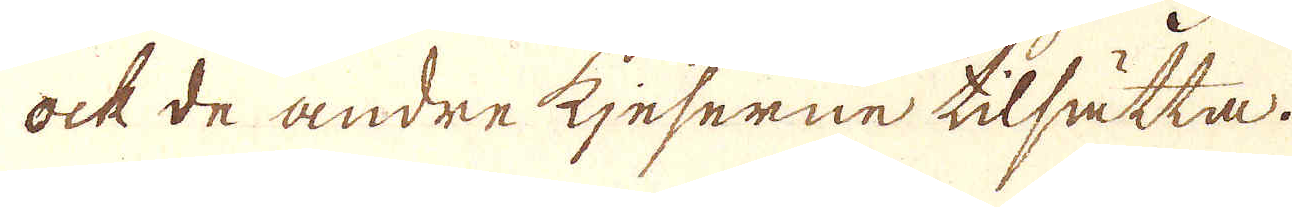ock de andre kjeserne tilsätta.
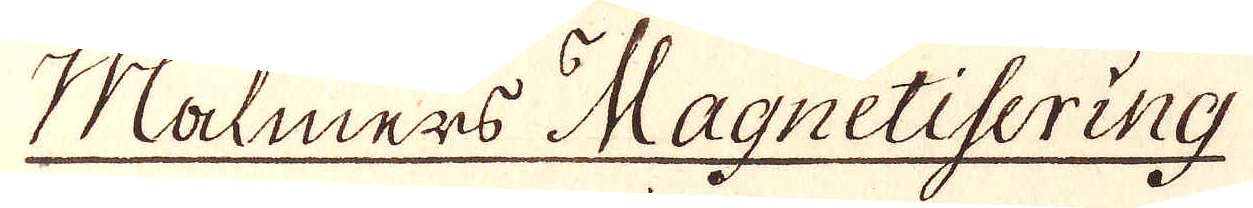Malmers Magnetisering
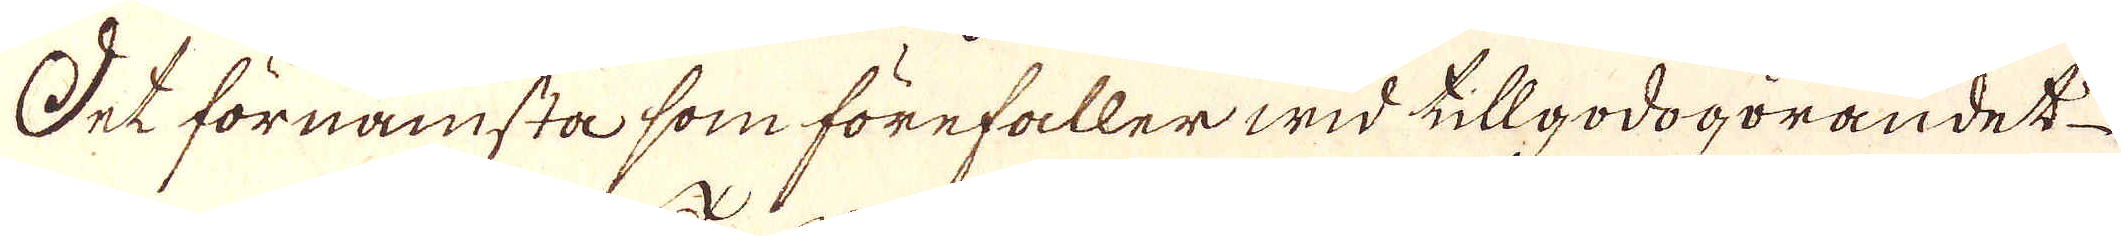Det förnämsta som förefaller wid tillgodogörandet
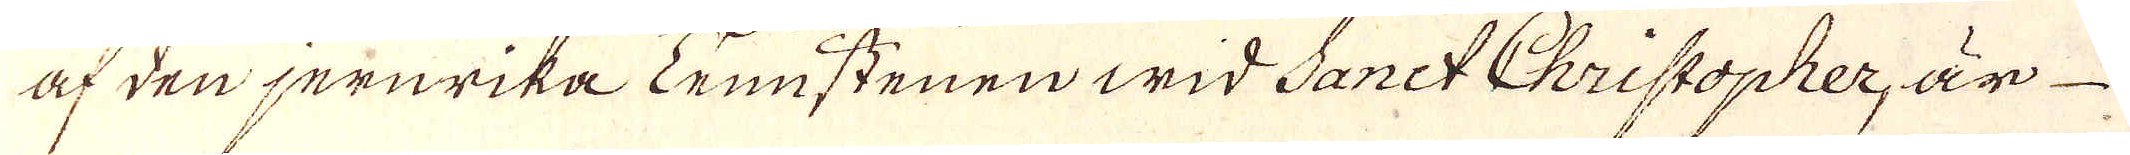af den jernrika Tennstenen wid Sanct Christopher, är
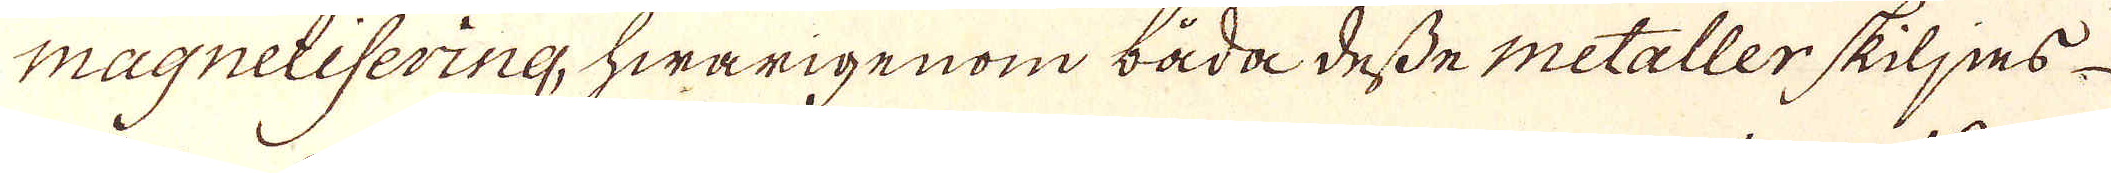Magnelisering, hwarigenom båda desse metaller skiljes
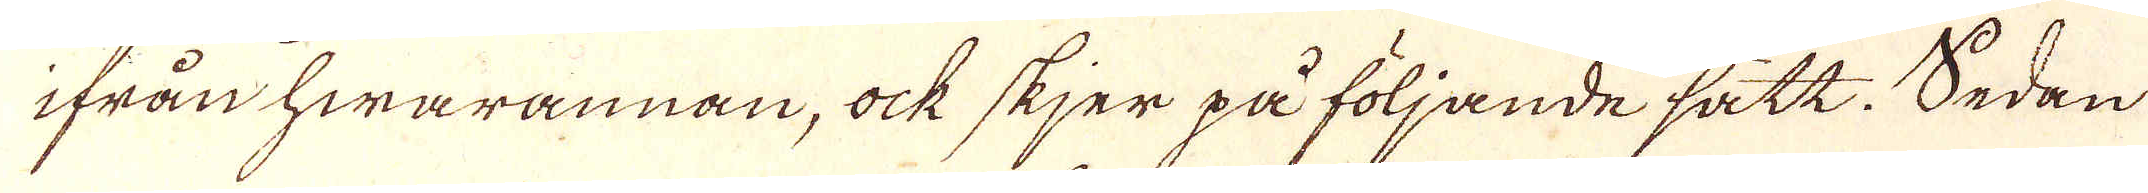ifrån hwarannan, ock skjer på följande sätt. Sedan
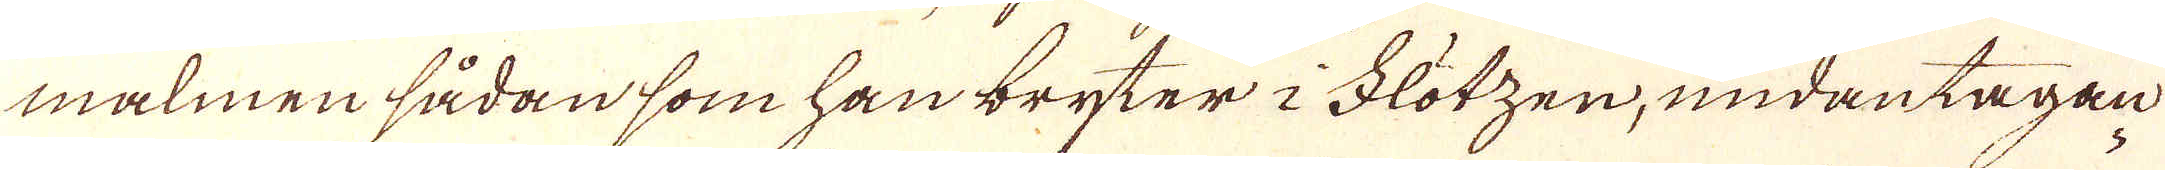malmen sådan som han bryter i Flötzen, undantagan
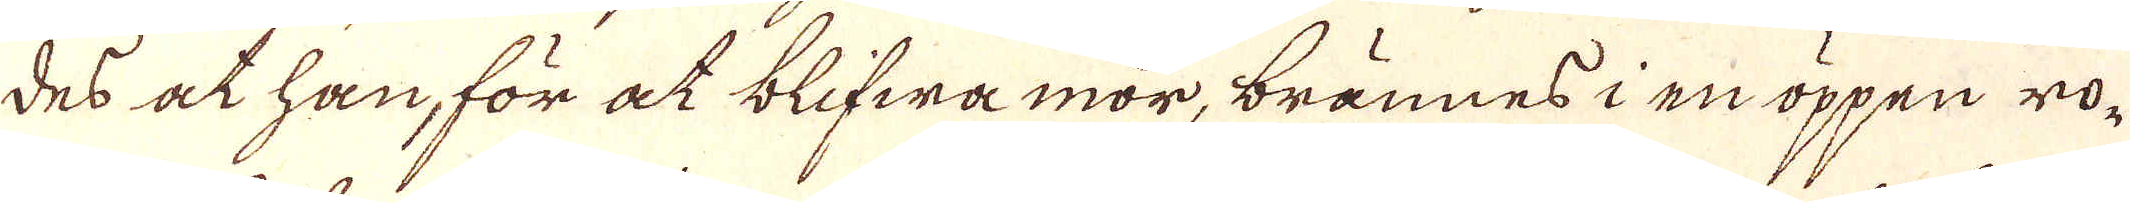des at han, för at blifwa mör, brännes i en öppen ro-
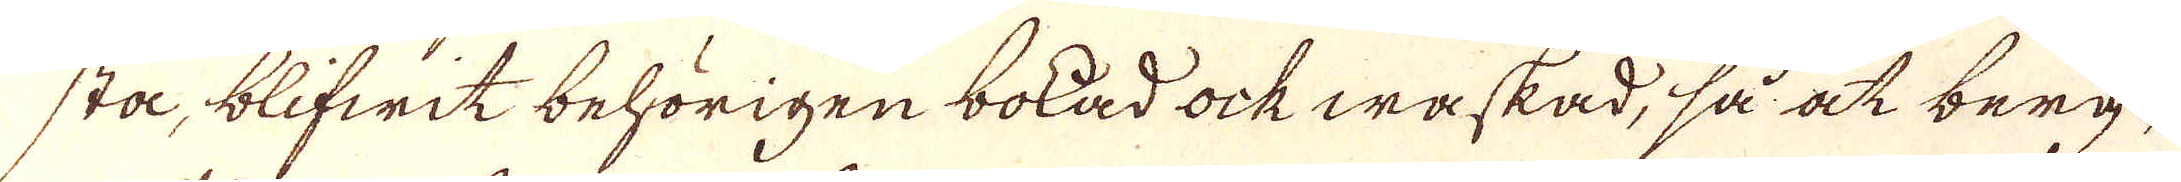stå, blifwit behörigen bolad ock waskad, så at berg-
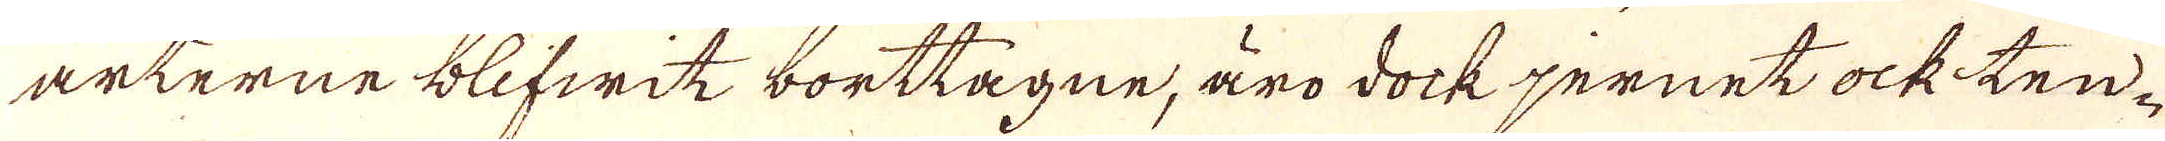arterne blifwit borttagne, äro dock jernet ock ten-
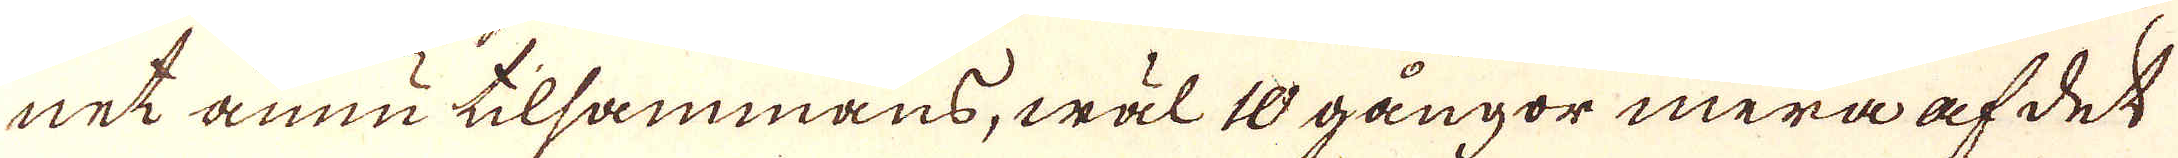net ännu tilsammans, wäl 10 gångor mera af det
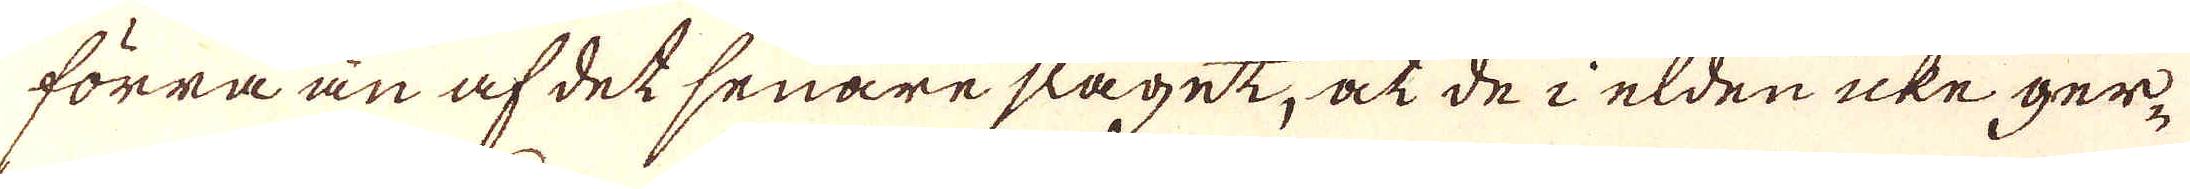förra än af det senare slaget, at de i elden icke ger-
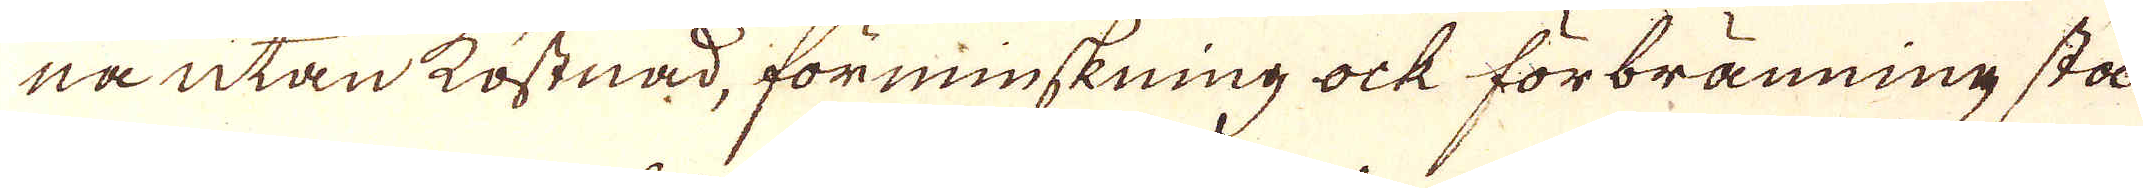na utan kostnad, förminskning ock förbränning stå
